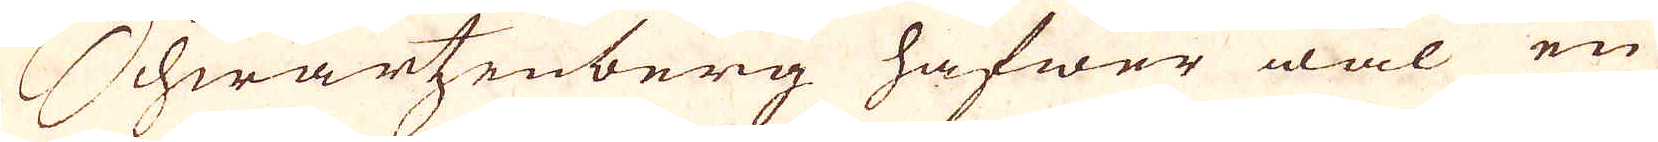Schwartzenberg hafwer wäl en
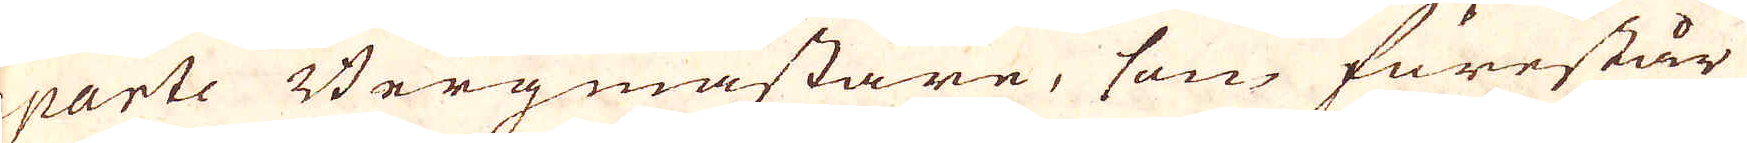aparte Bergmästare, som förestår
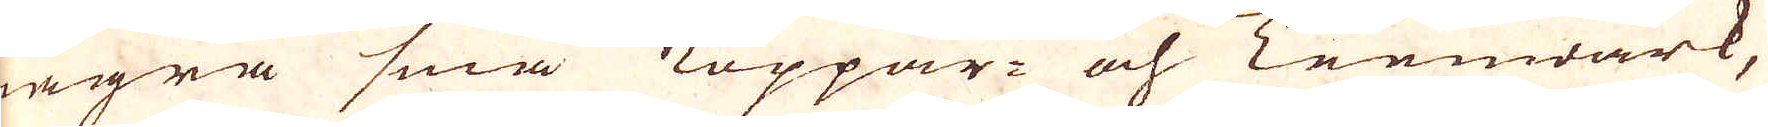några små Koppar- och Tennwärk,
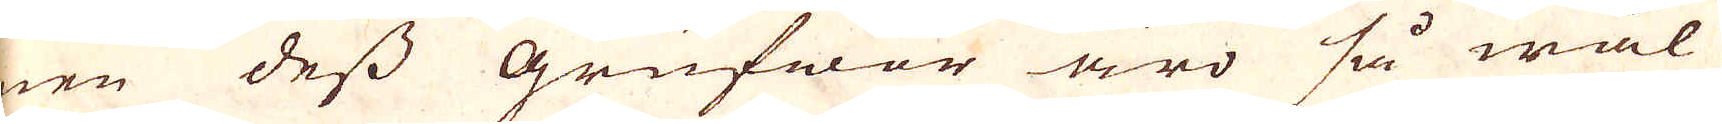men dess Grufwor äro så wäl
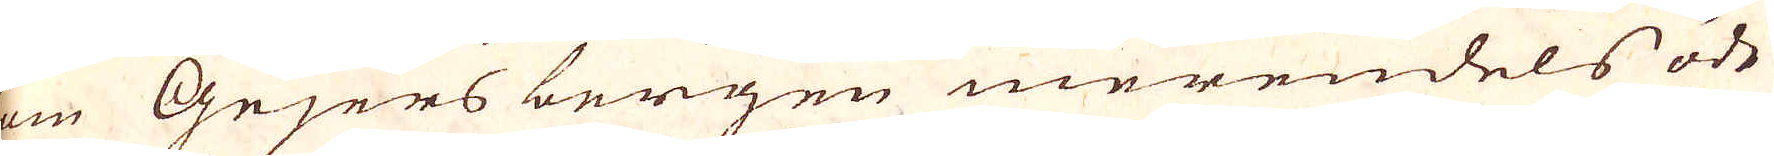som Gejers bergen merendels ödt
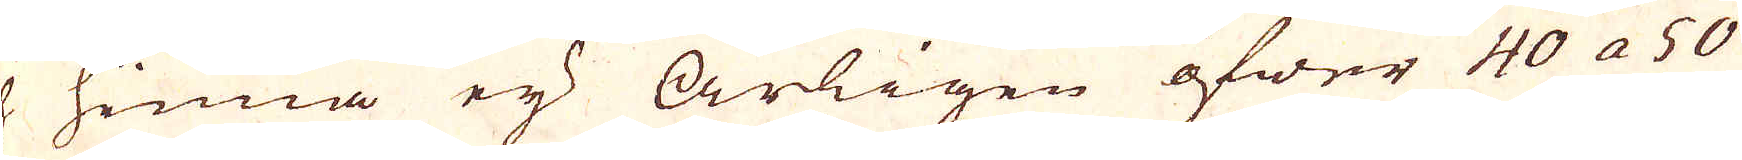och hinna ej årligen öfwer 40 a 50
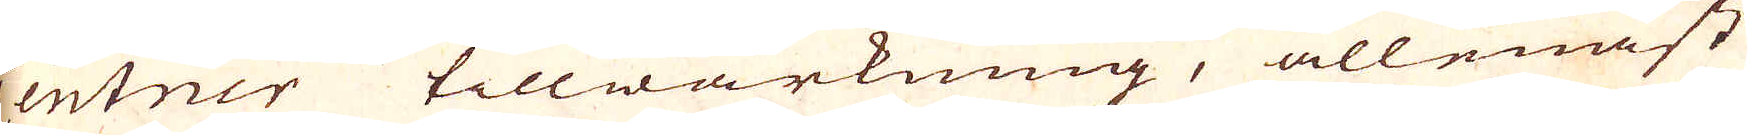Centner tillwärkning, allenast
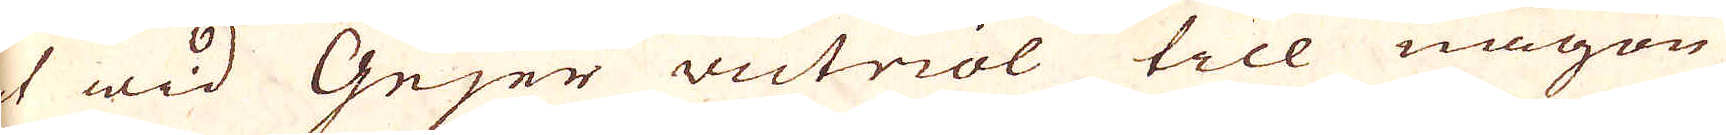at wid Gejer victriol till någon
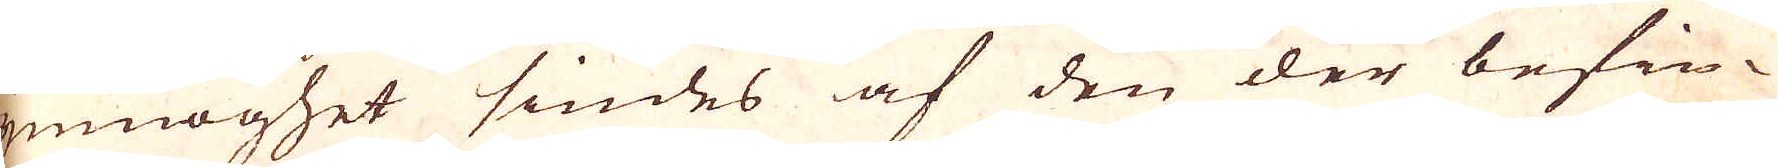ymnoghet siudes af den der befin-
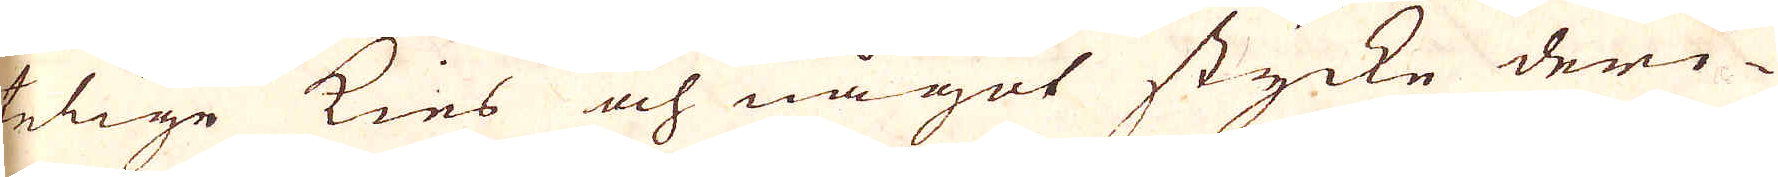telige kies och något stycke deri-
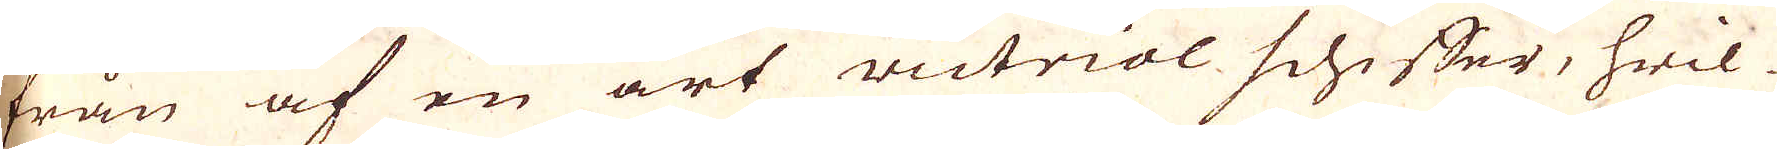från af en art victriol schiffer, hwil-
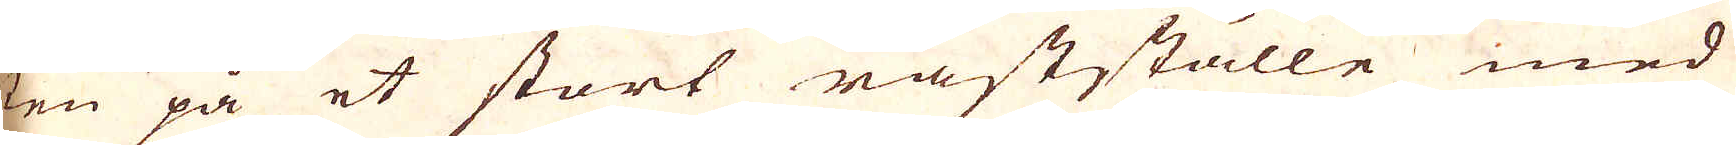ken på et stort råstställe med
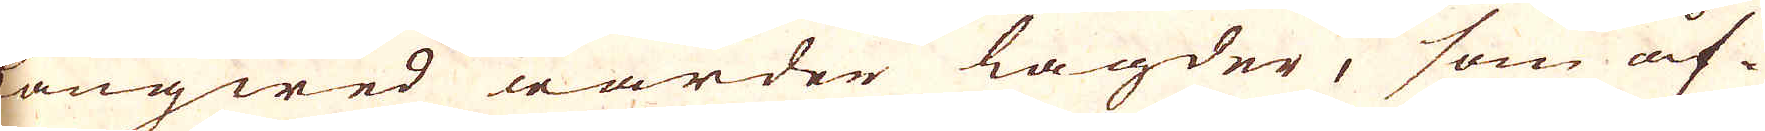långwed warder lagder, som åf-
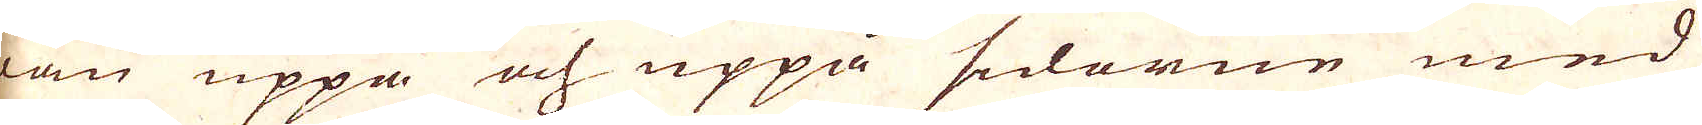wan uppå och uppå sidorne med
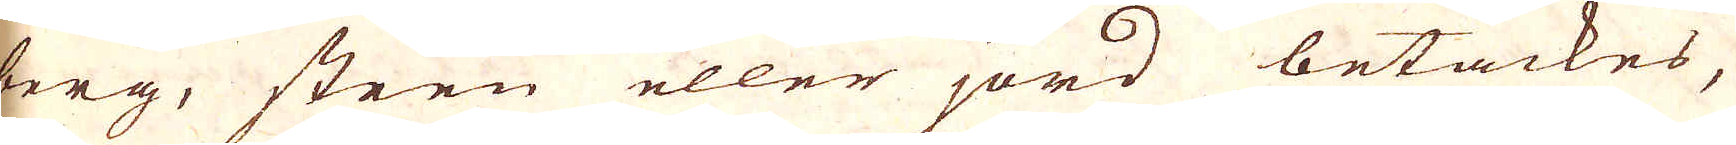berg, steen eller jord betäckes,
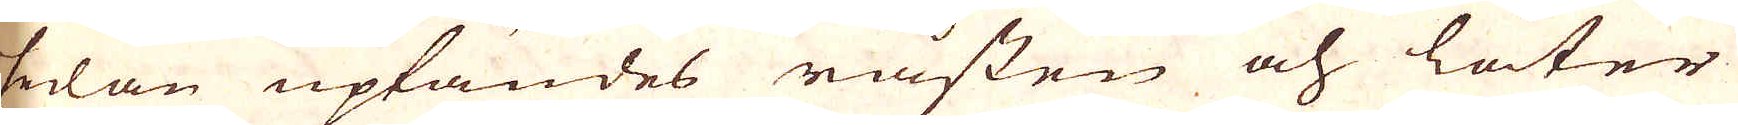sedan uptändes råsten och låter
